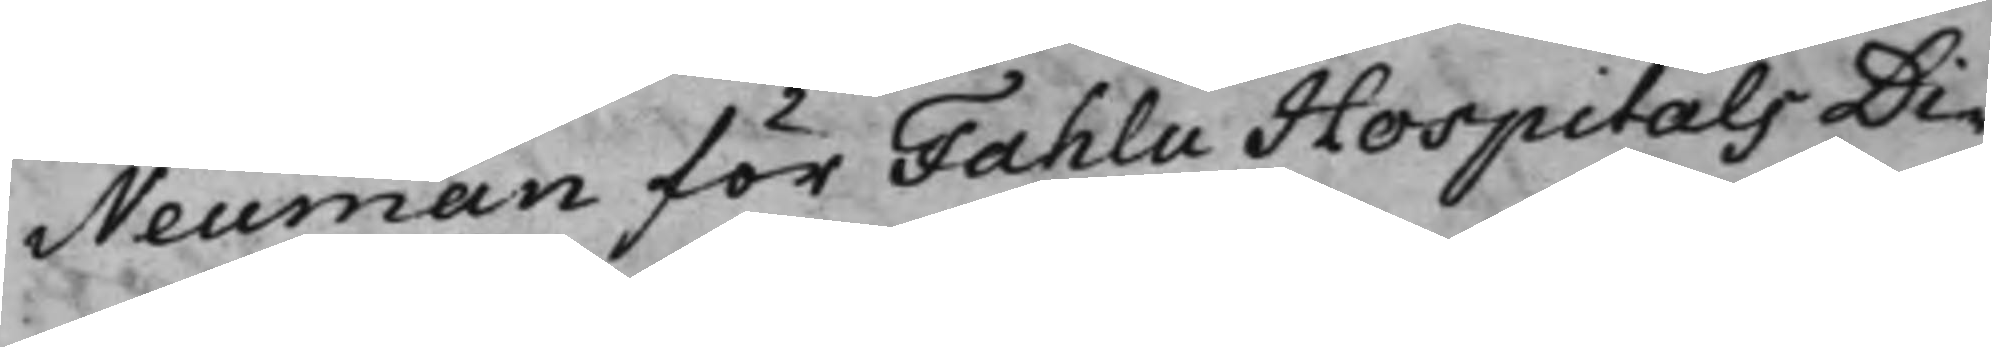Neuman för Fahlu Hospitals Di¬
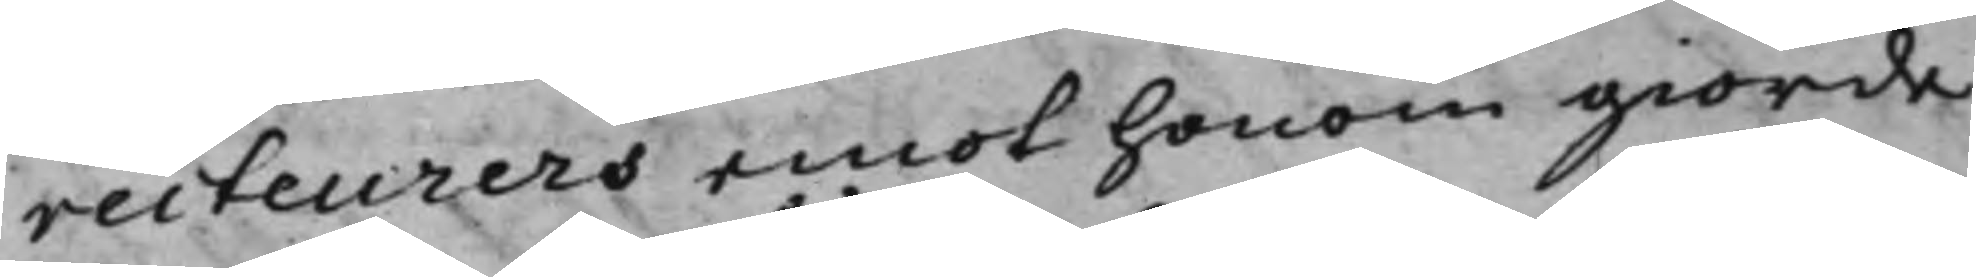recteurers emot honom giorde
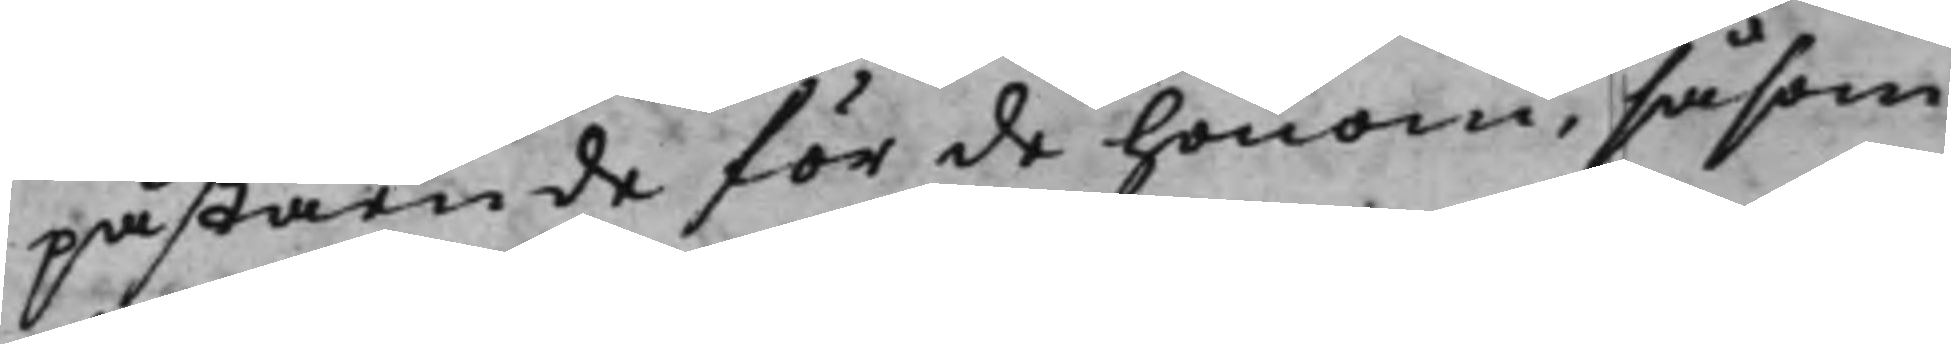påstående för de honom, såsom
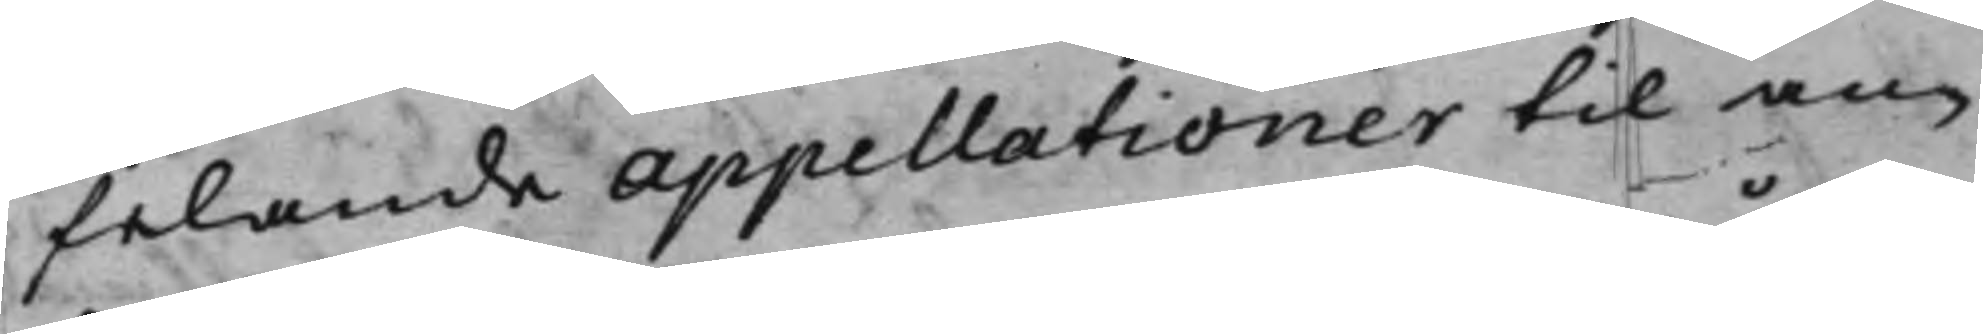felande appellationer til an¬
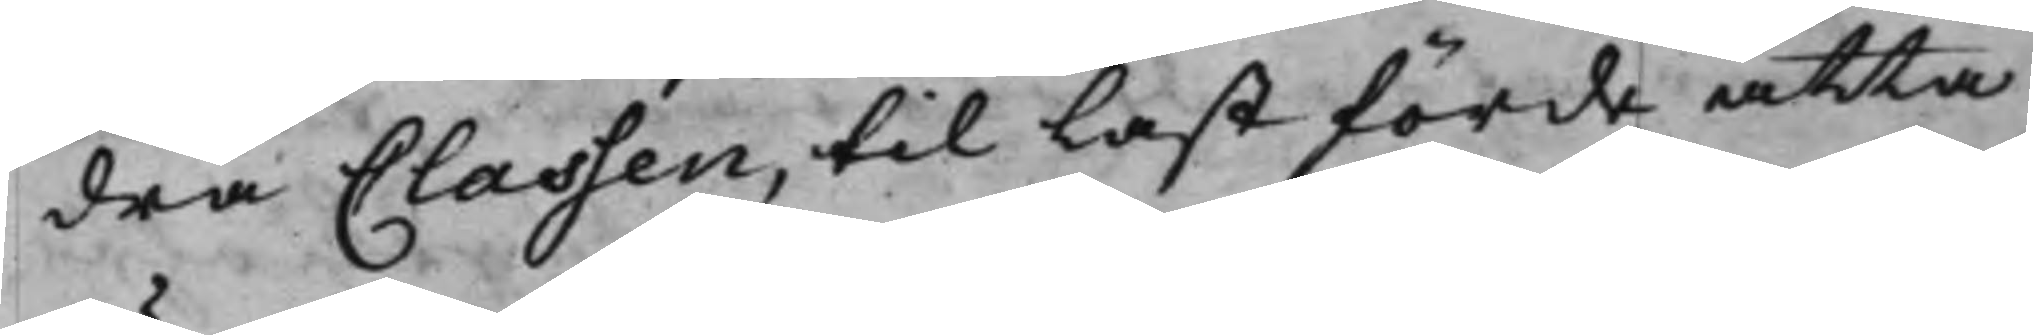dra Classen, til Last förde åtta
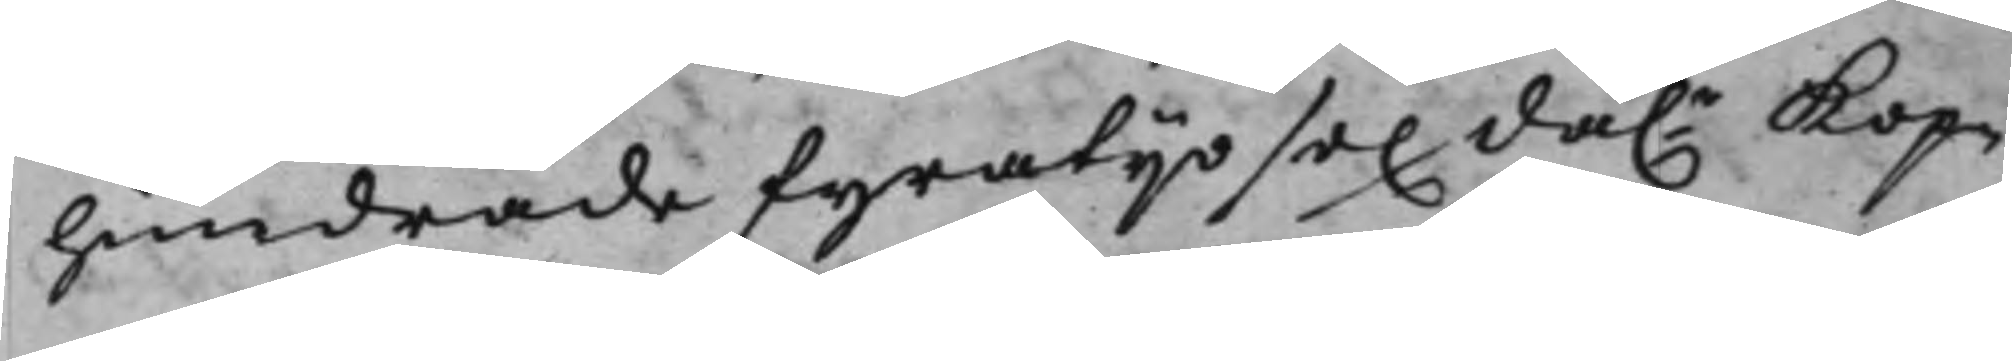hundrade fyratijo sex da.r Kop¬
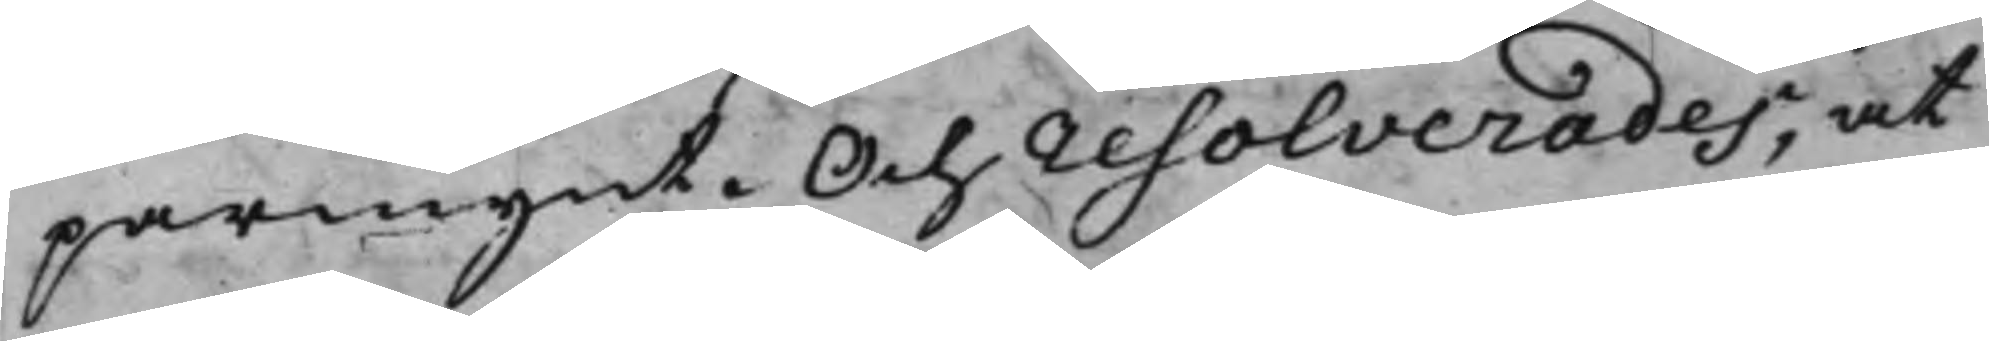parmynt. Och resolverades, at
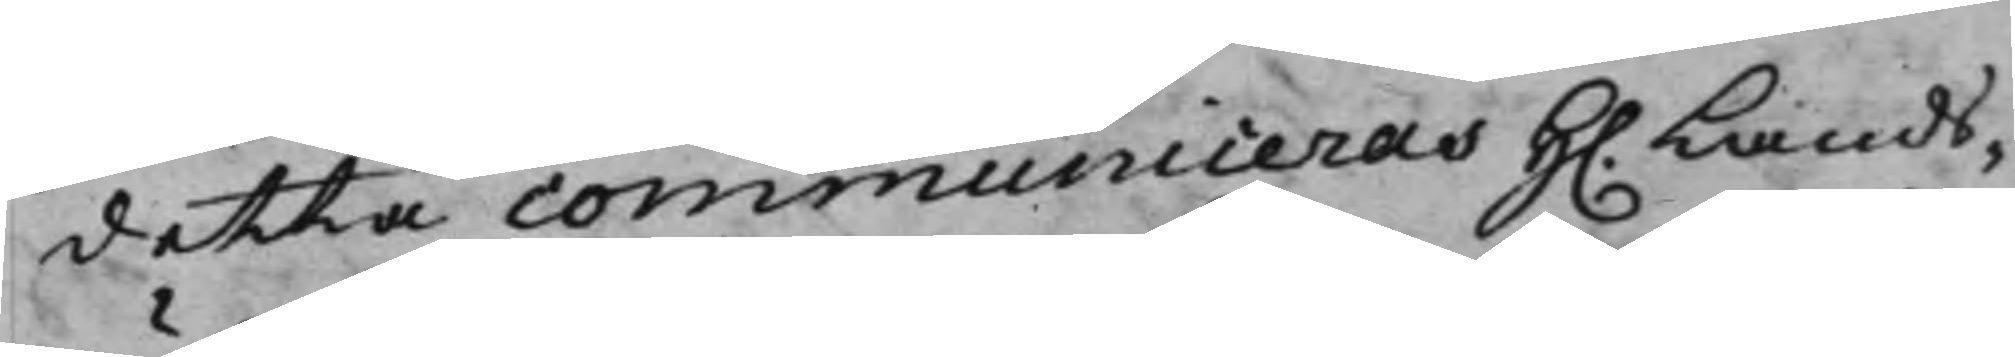detta communiceras H. Lands¬
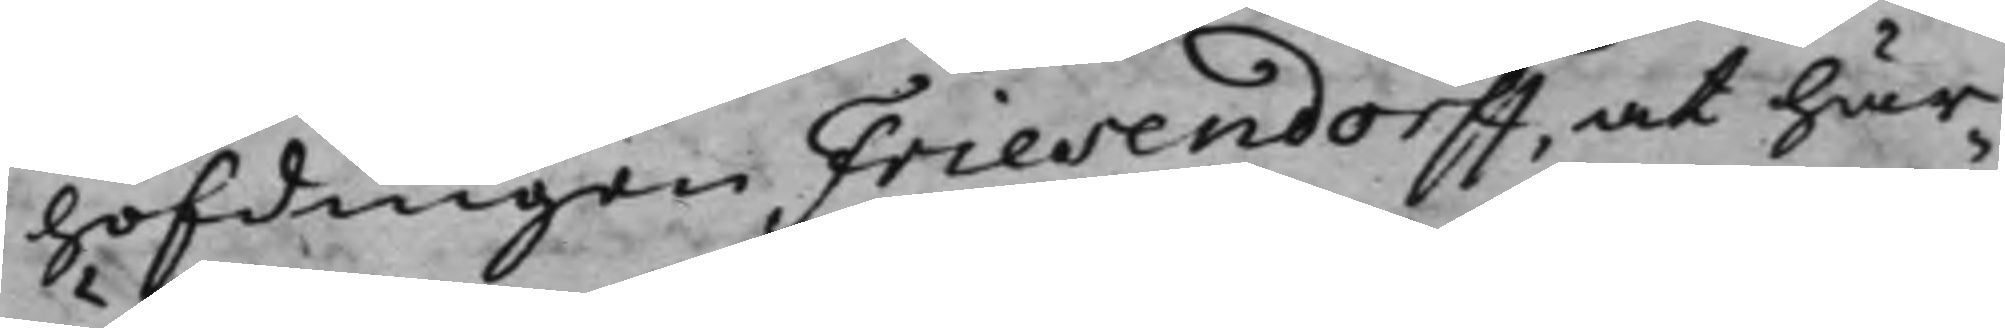höfdingen Friesendorff, at här¬
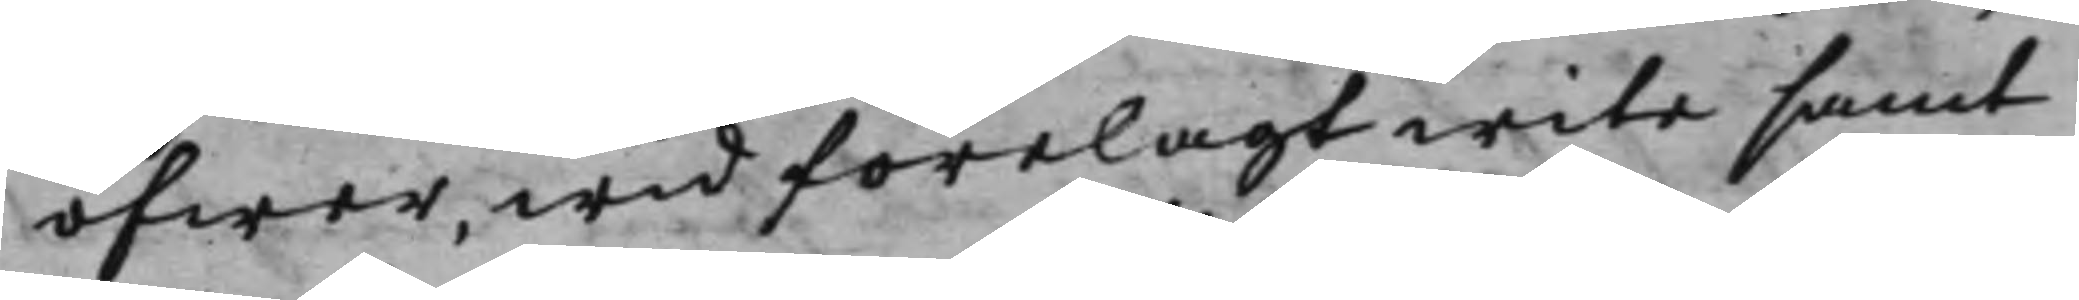öfwer, wid förelagt wite samt
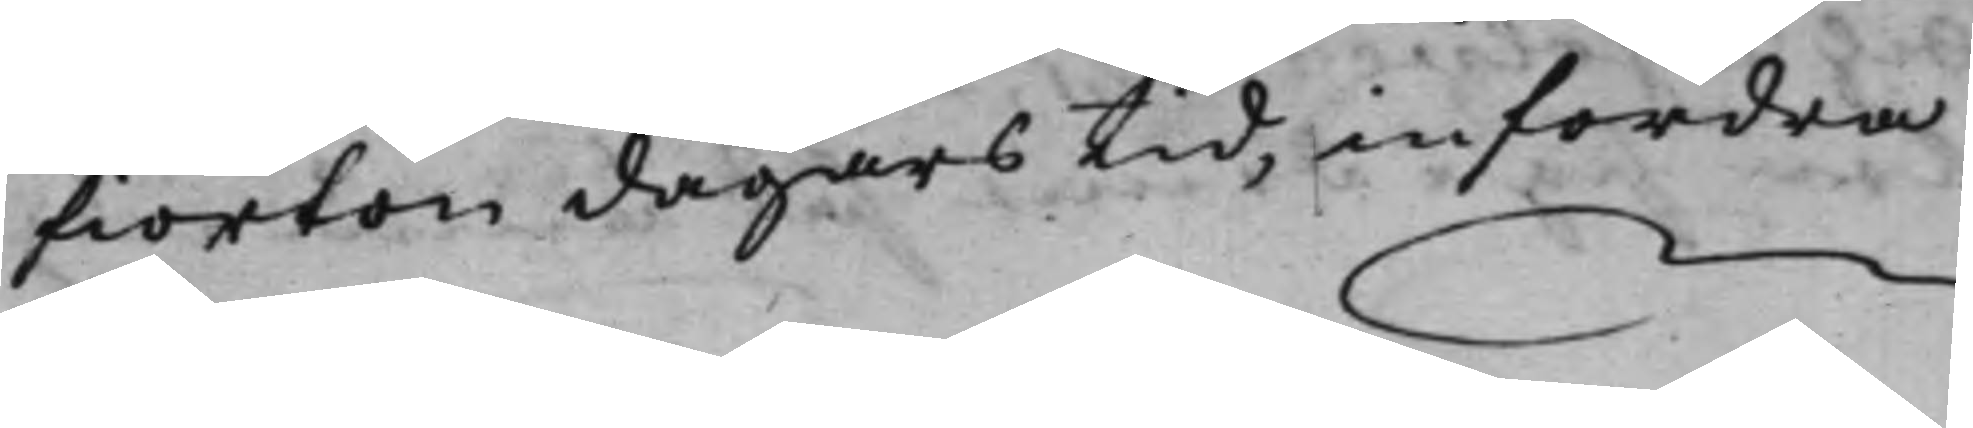fiorton dagars tid, infordra
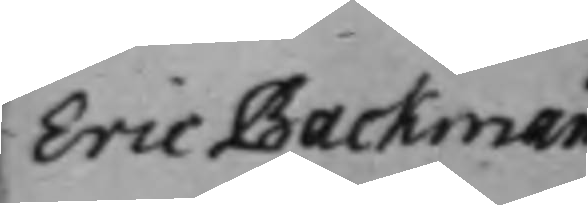Eric Backman
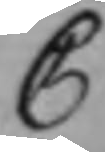C
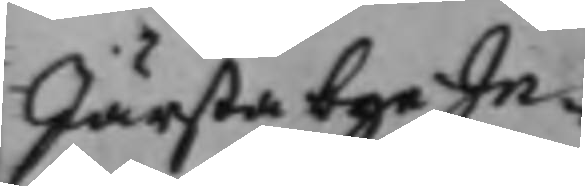Järsta byeIn¬
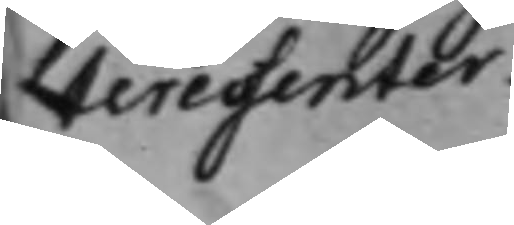teressenter.
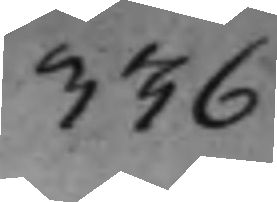336
